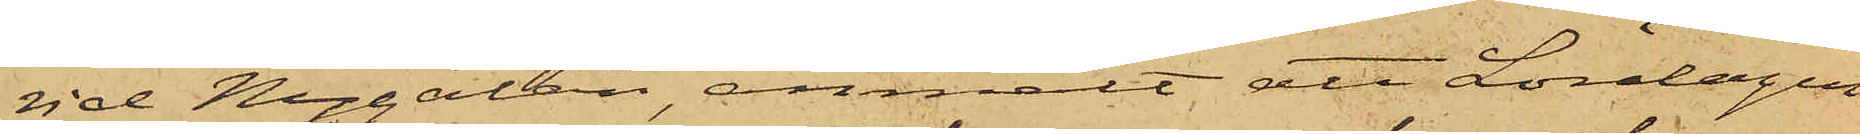vid Nygatan, anmält att Lördagen
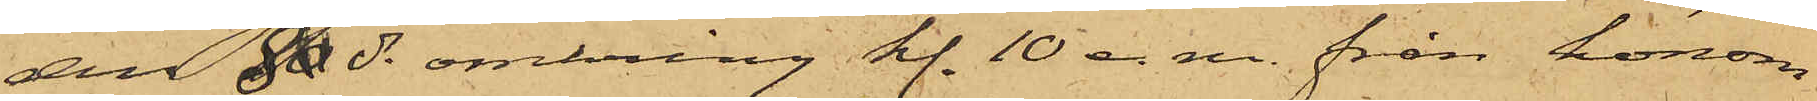den 80 ds omkring kl. 10 e.m. från honom
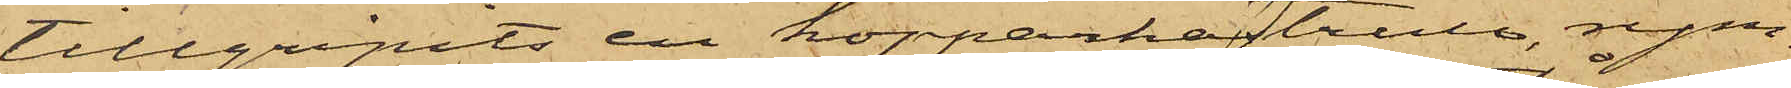tillgripits en kopparkastrull, rym¬
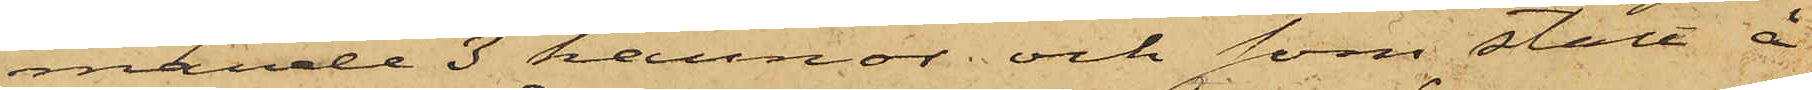mande 3 kannor; och som stått å
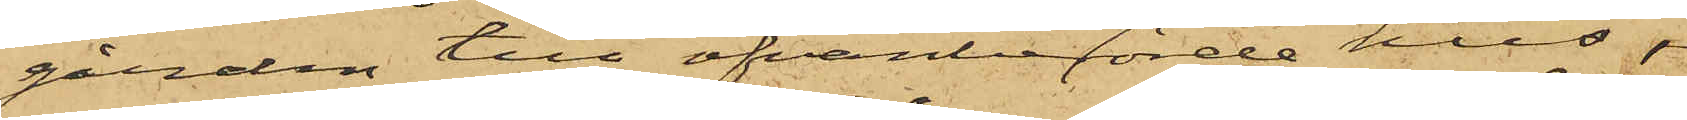gården till ofvanberörde hus,
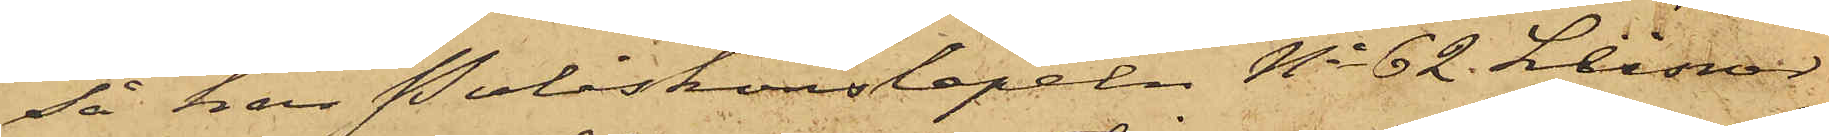så har Poliskonstapeln No 62 Leisnar
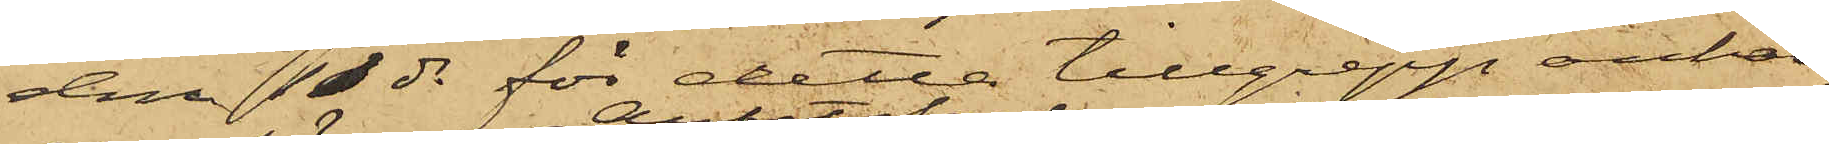den 11 ds för detta tillgrepp anhål¬
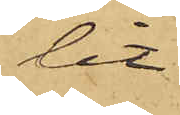lit
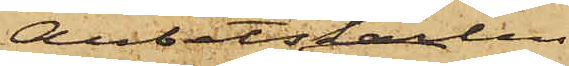Arbetskarlen
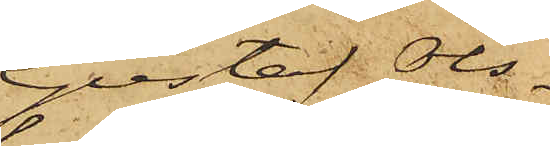Gustaf Ols¬
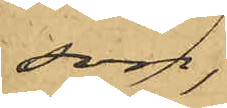son,
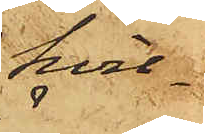hvil¬
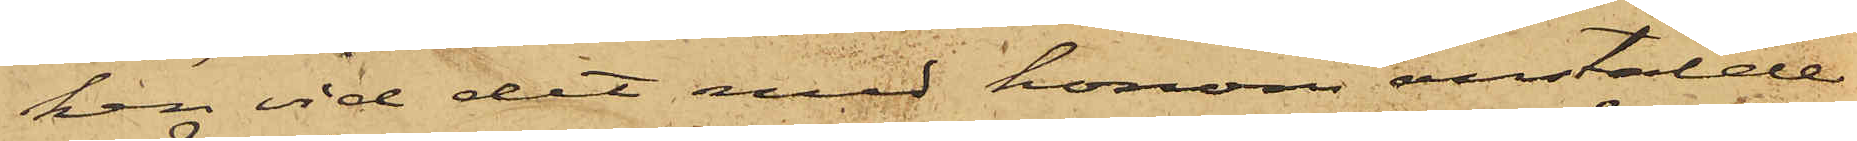ken vid det med honom anstälde
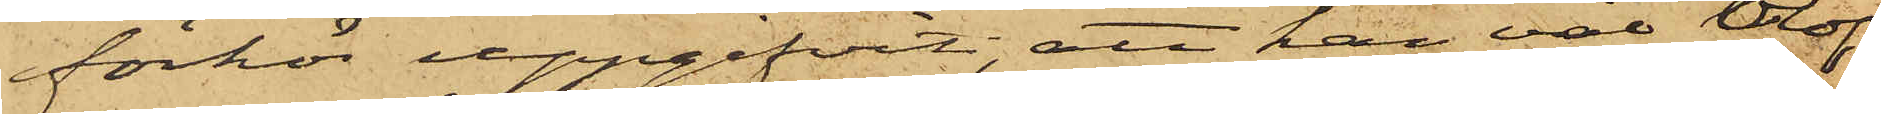förhör uppgifvit, att han väl olof¬
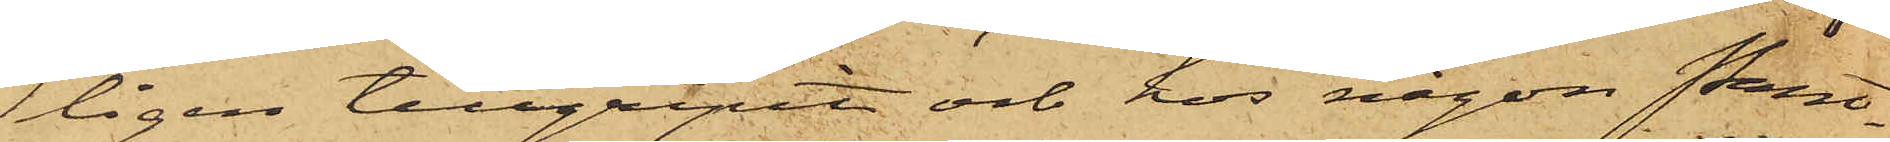ligen tillgripit och hos någon Pant¬
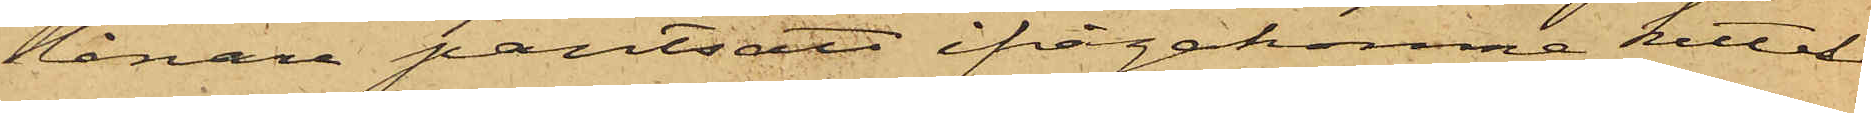lånare pantsatt ifrågakomne kittel
